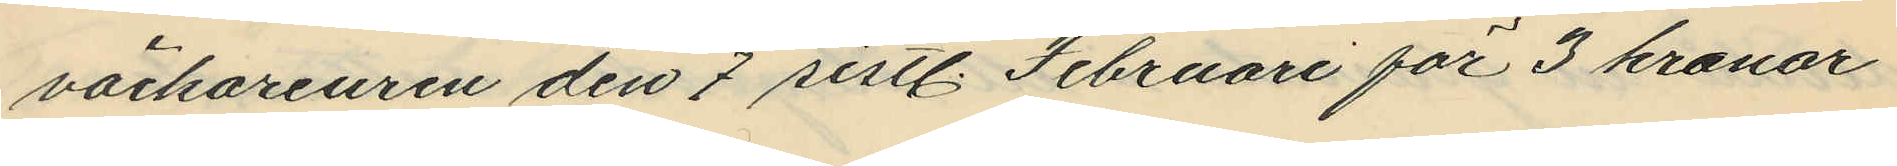väckareuren den 7 sistl. Februari för 3 kronor
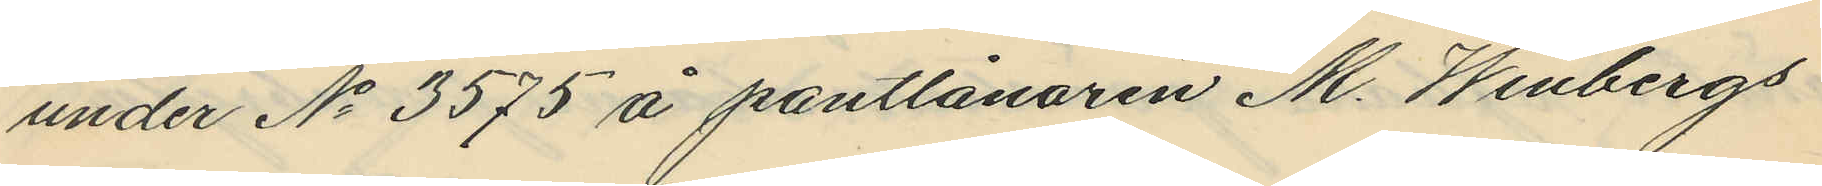under No 3575 å pantlånaren M. Winbergs
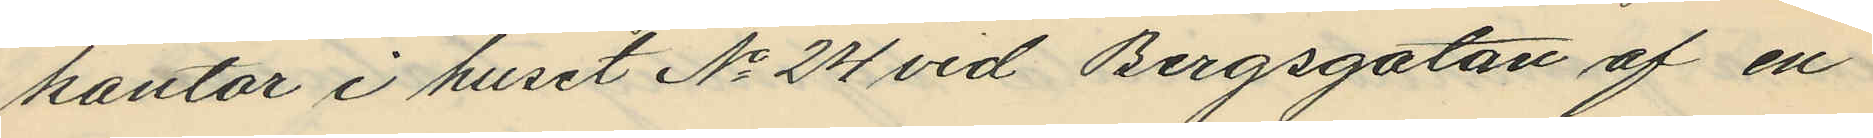kontor i huset No 24 vid Bergsgatan af en
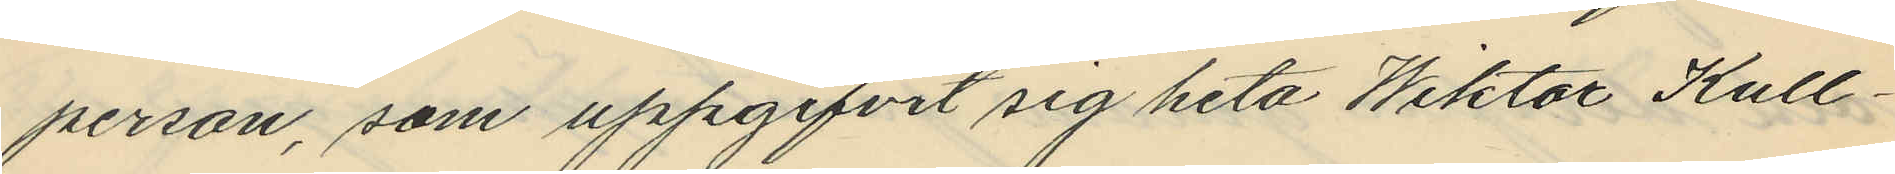person, som uppgifvit sig heta Wiktor Kull¬
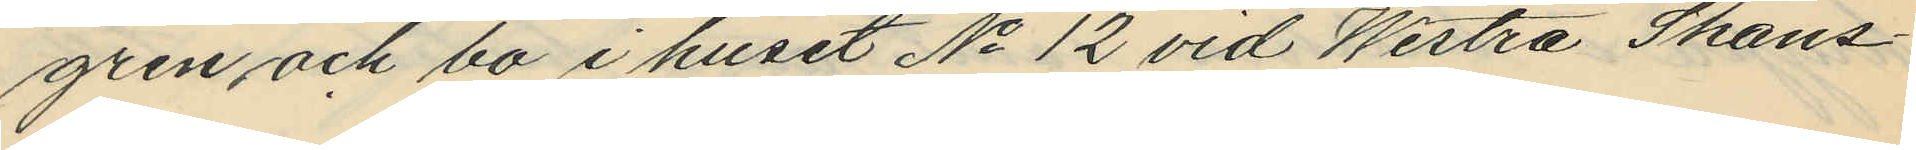gren och bo i huset No 12 vid Westra Skans¬
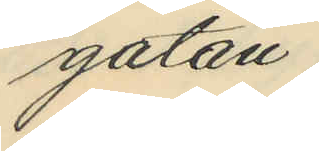gatan.
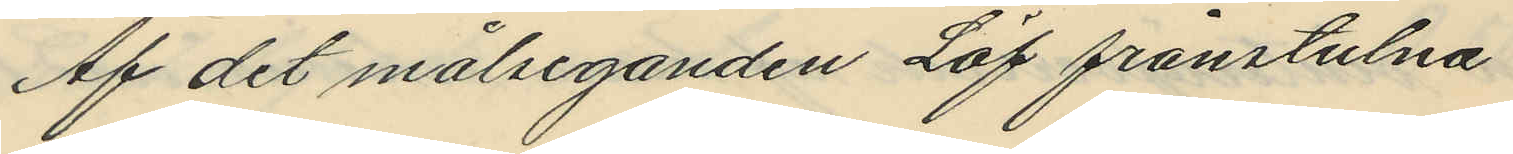Af det målseganden Löf frånstulna
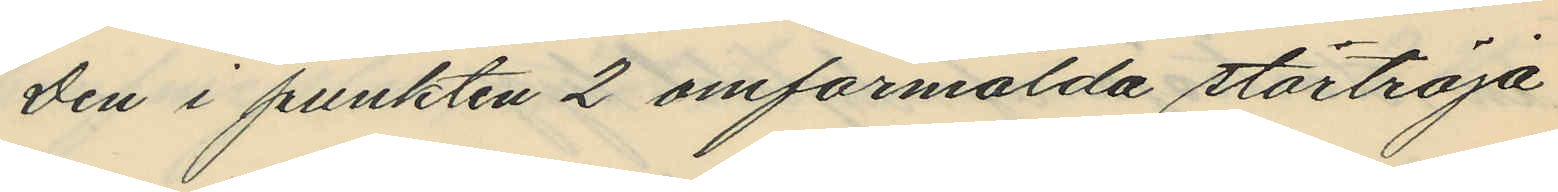den i punkten 2 omförmälda stortröja
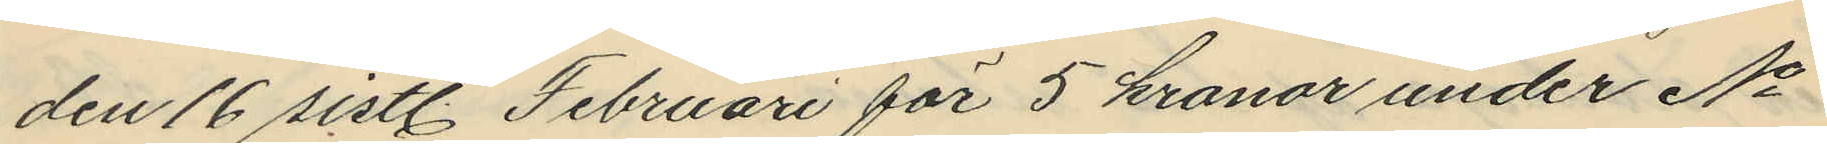den 16 sistl. Februari för 5 kronor under No
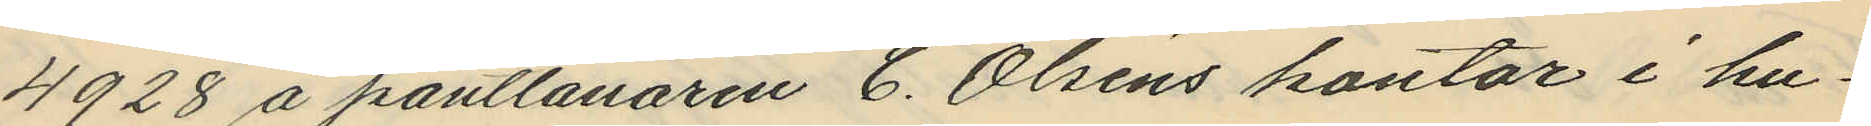4928 å pantlånaren C. Olséns kontor i hu¬
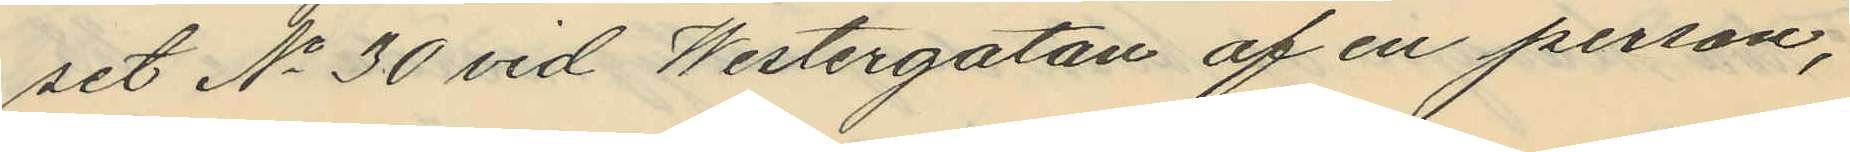set No 30 vid Westergatan af en person,
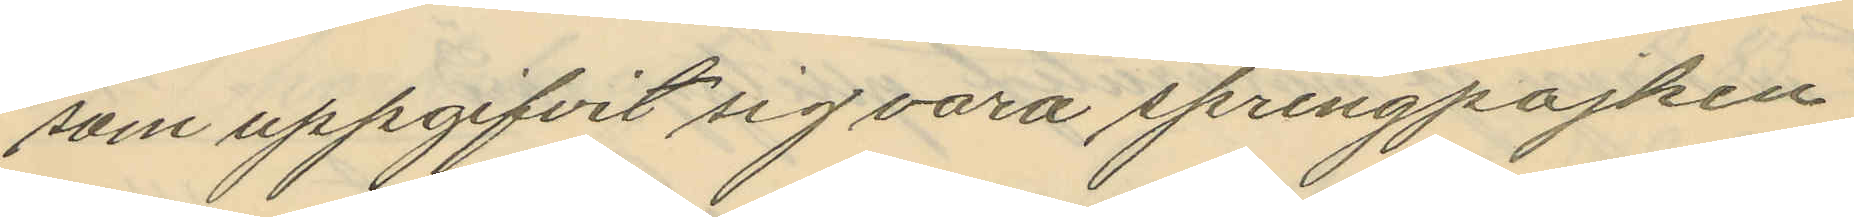som uppgifvit sig vara springpojken
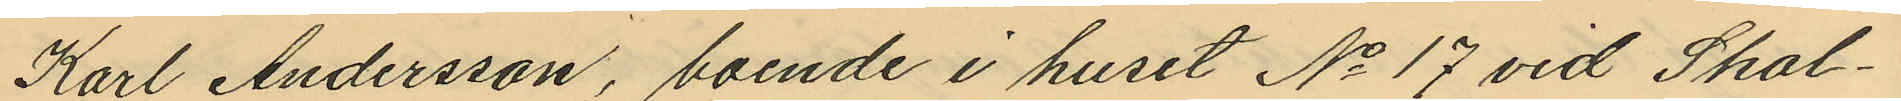Karl Andersson, boende i huset No 17 vid Skol¬
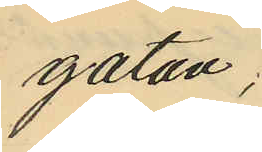gatan.
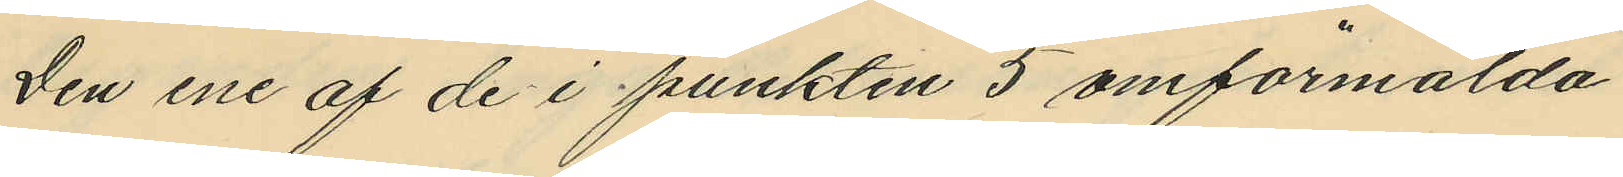Den ene af de i punkten 5 omförmälda
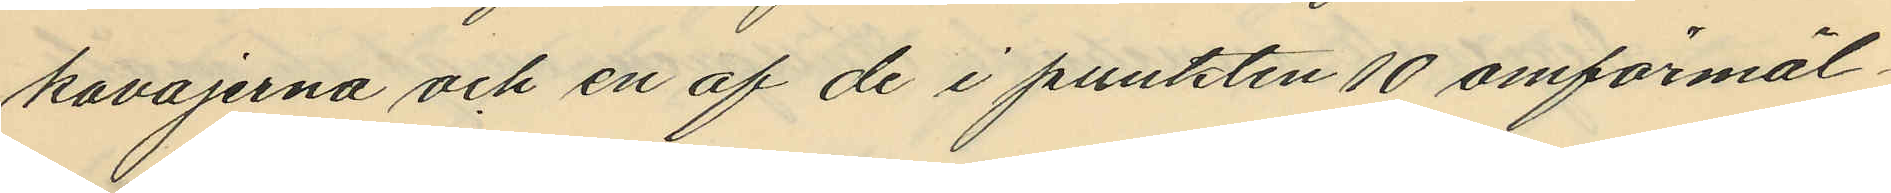kavajerna och en af de i punkten 10 omförmäl¬
